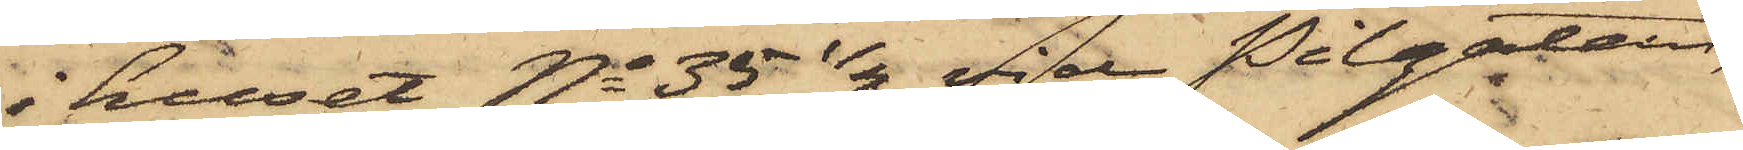i huset No 35 1/2 vid Pilgatan,
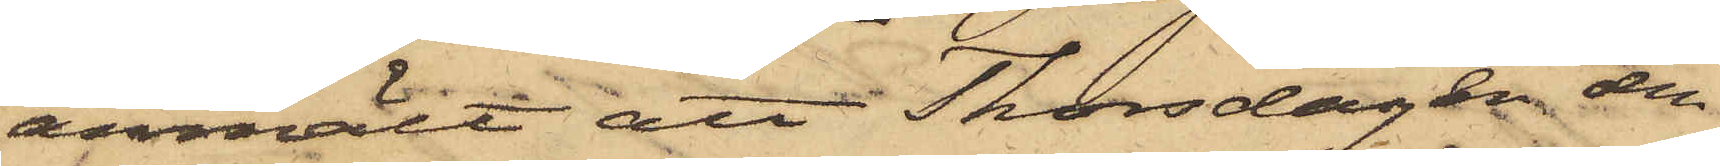anmält att Thorsdagen den
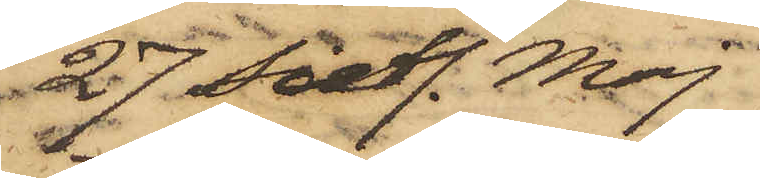27 sistl. Maj
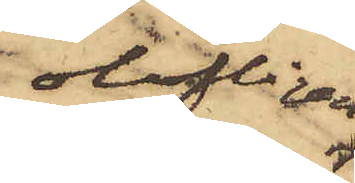olofligen
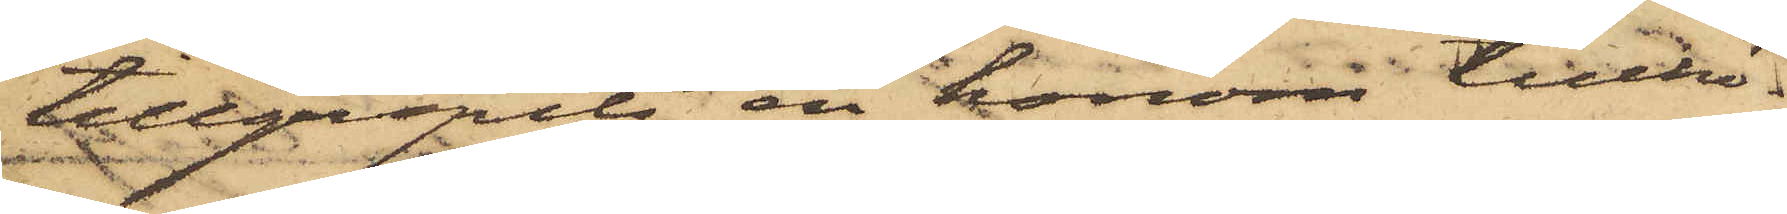tillgripits en honom tillhö¬
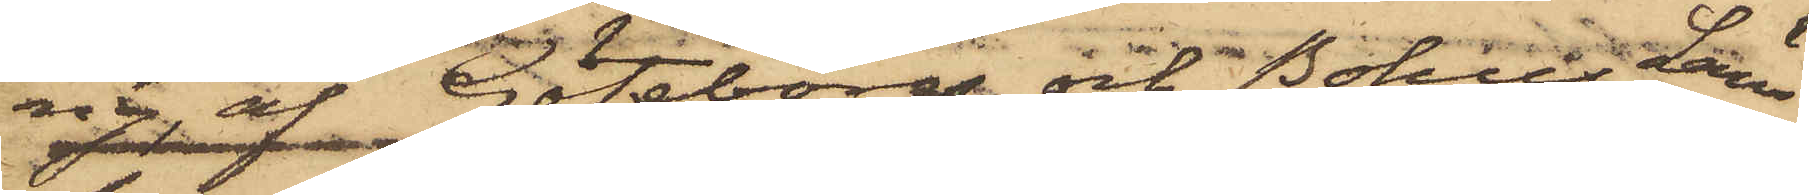ig, af Göteborgs och Bohus Läns
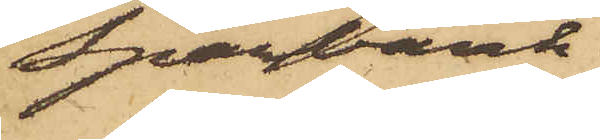Sparbank
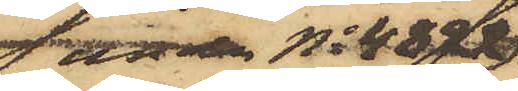under No 4822
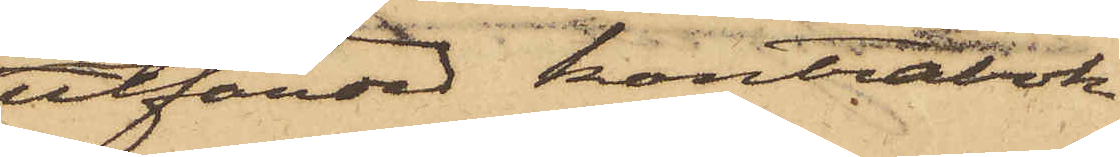utfärdad kontrabok
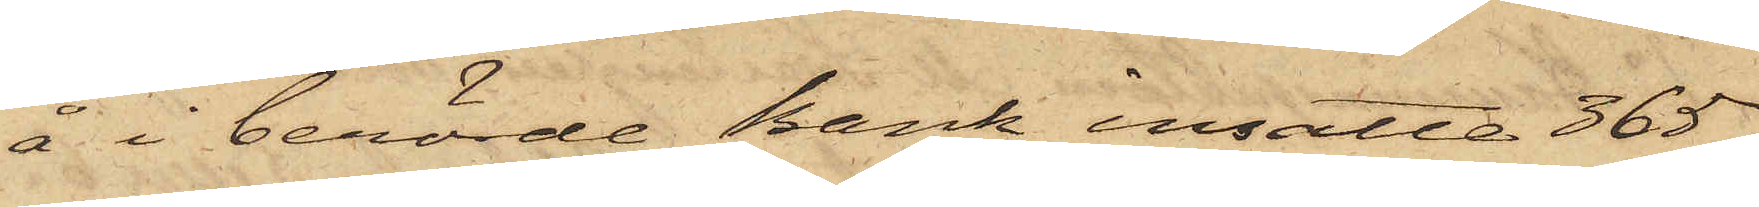å i berörde Bank insatte 365
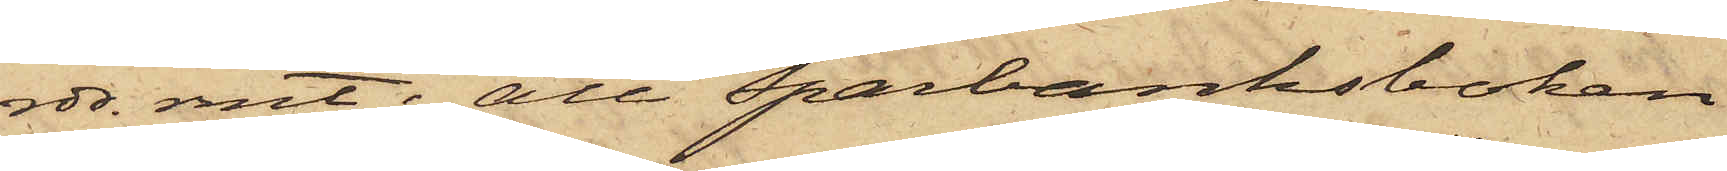rdr. rmt; att Sparbanksboken
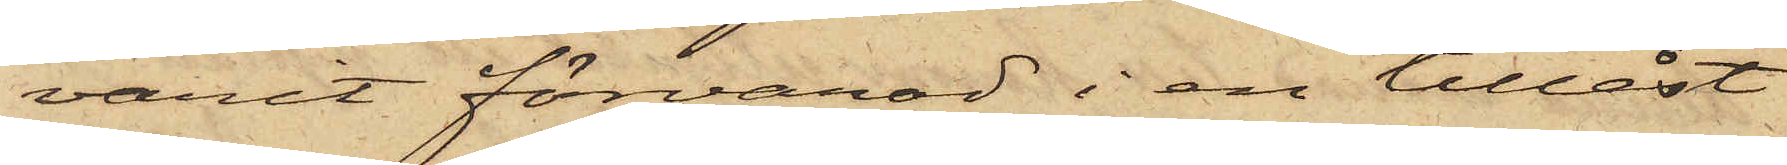varit förvarad i en tillåst
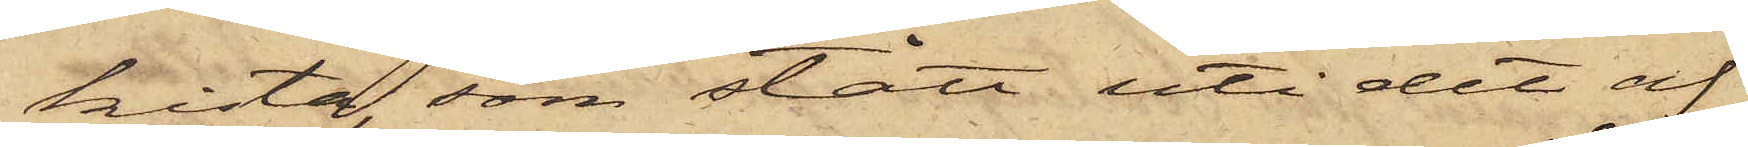kista, som stått uti det af
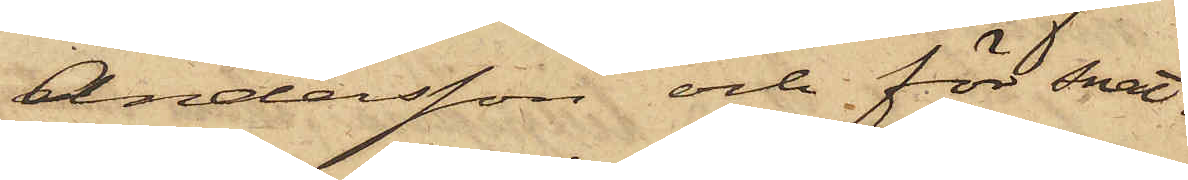Andersson och för snat¬
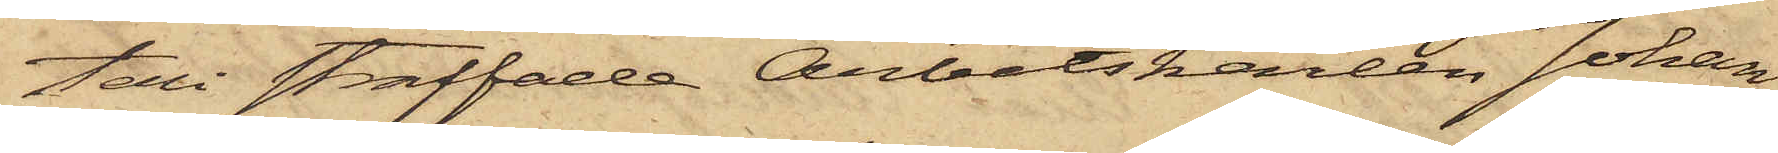teri straffade Arbetskarlen Johan
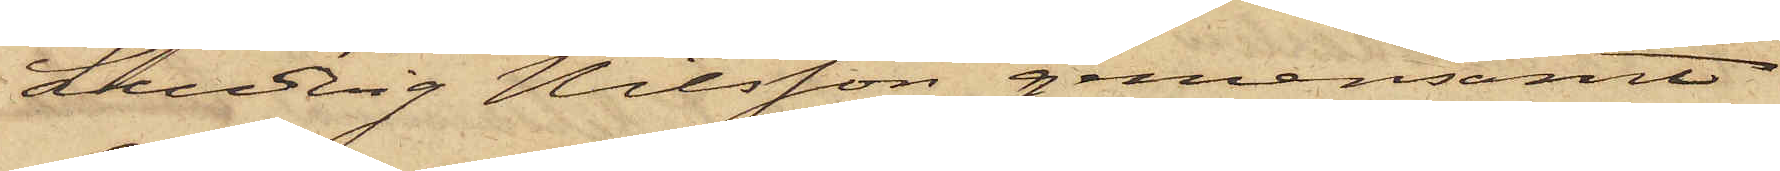Ludvig Nilsson gemensamt
